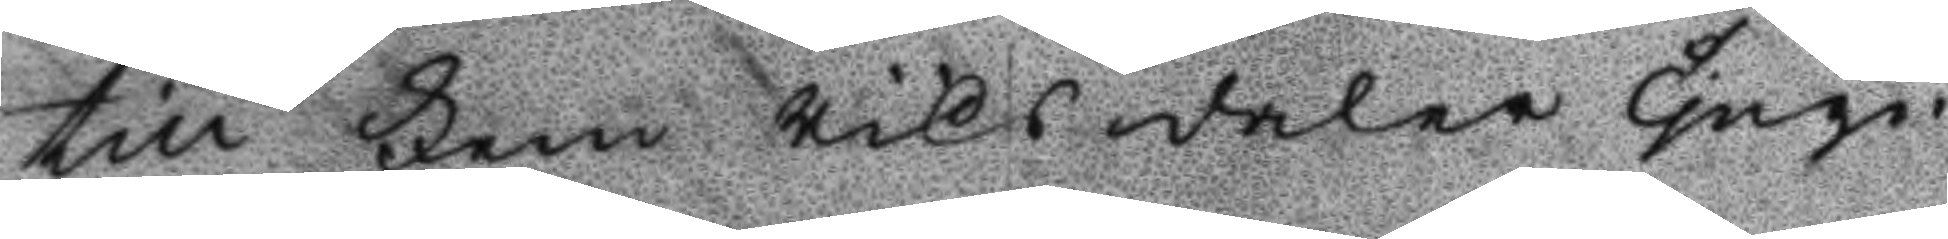till Fem Riksdaler tjugo¬
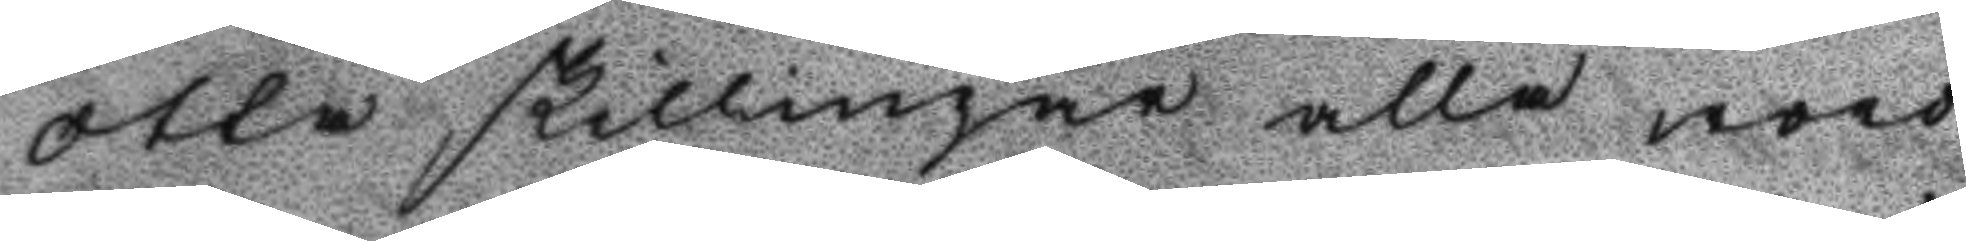otta skillingar alla woro
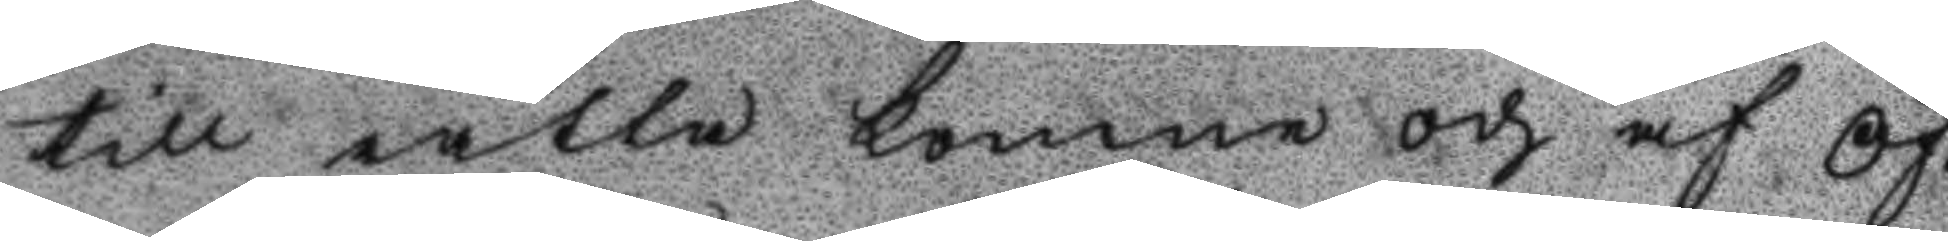till rätta komna och af Öf¬
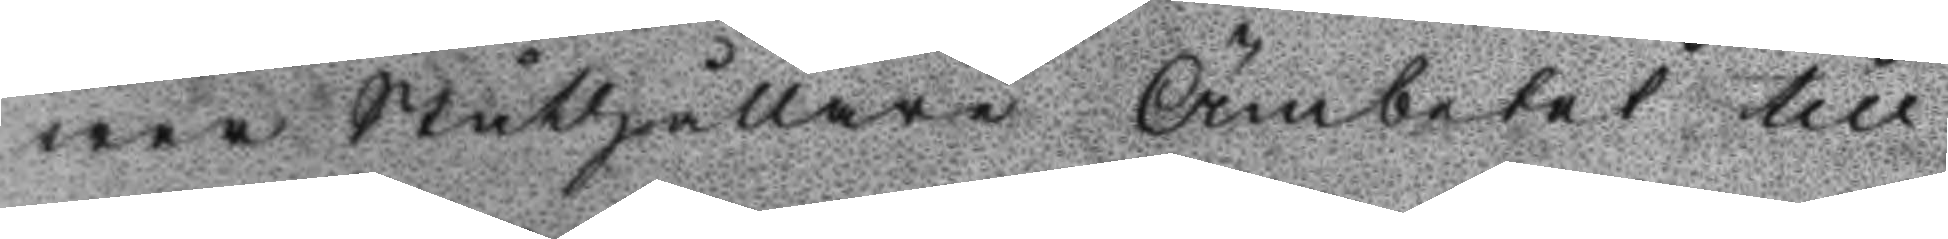wer Ståthållare Ämbetet till
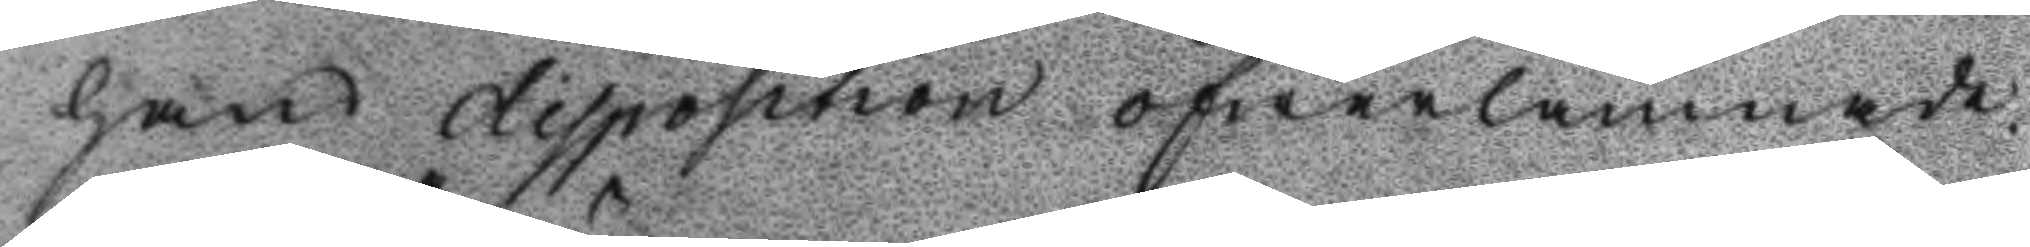hands disposition öfwerlämnade:
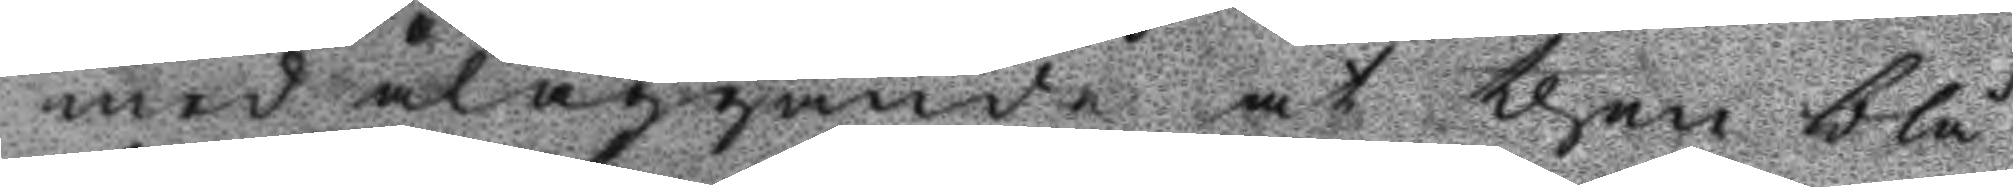med åläggande at then blå
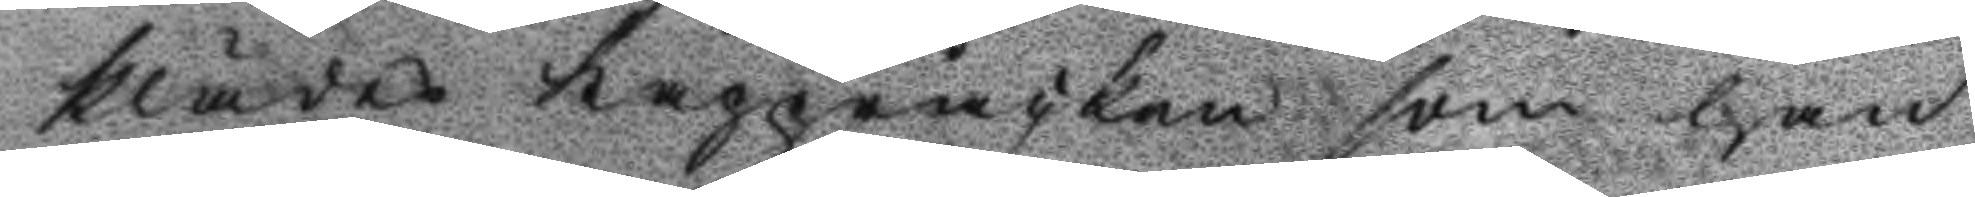klädes kappråcken som han
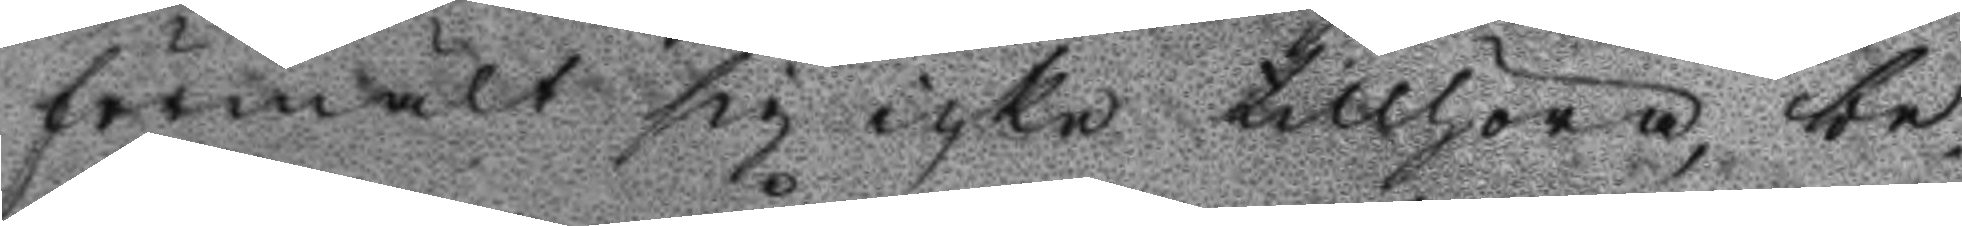förmält sig icke tillhöra be¬
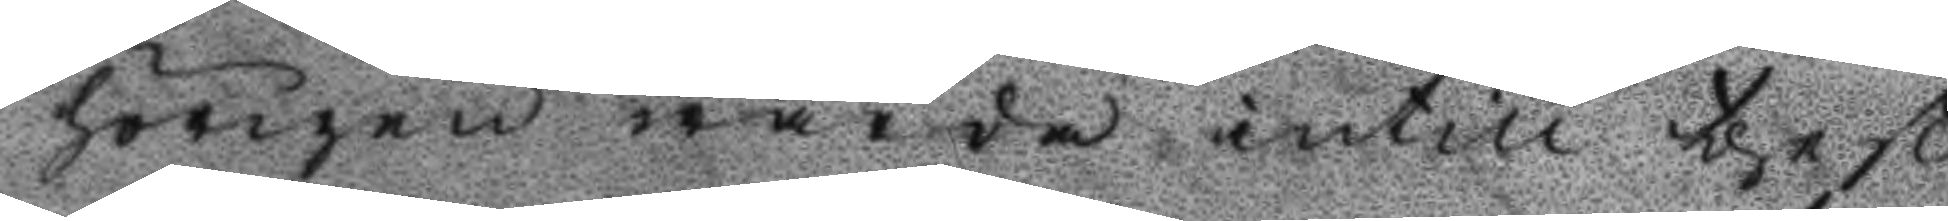hörigen wårda intill theß
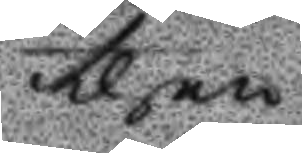then
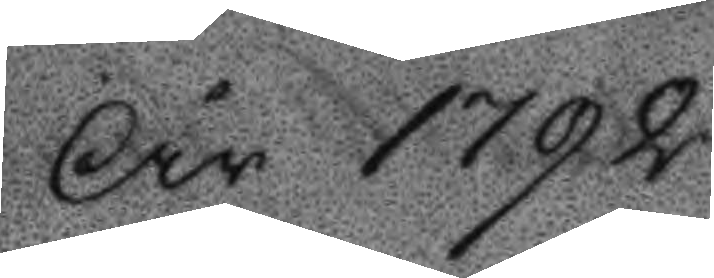År 1792
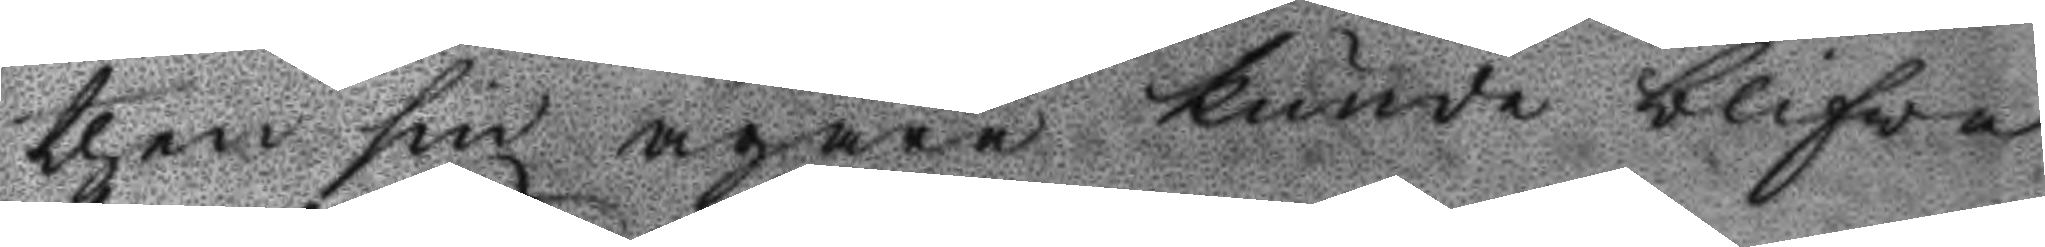then sin ägare kunde blifwa
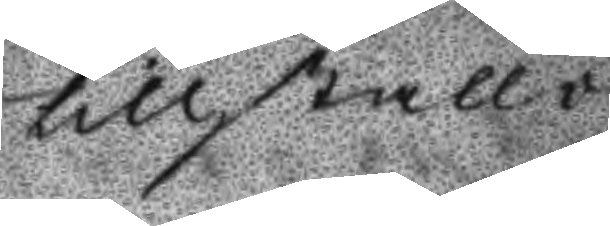tillställd.
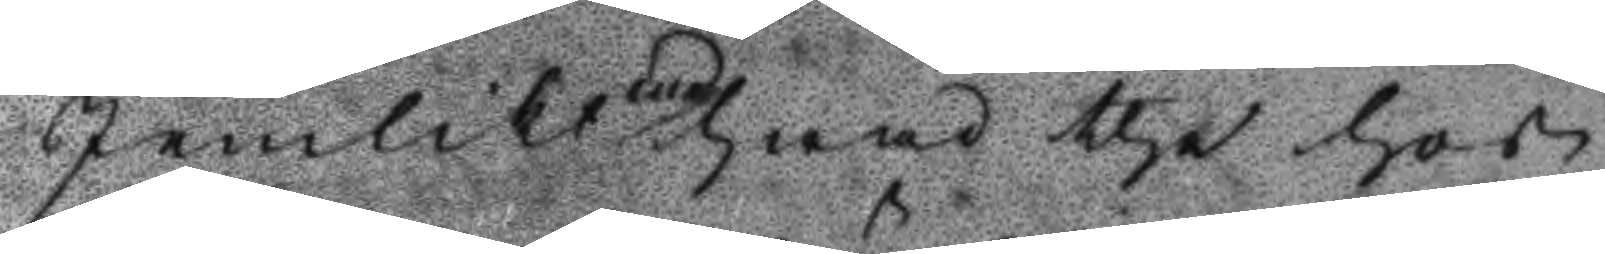Je,likt med hwad the hos
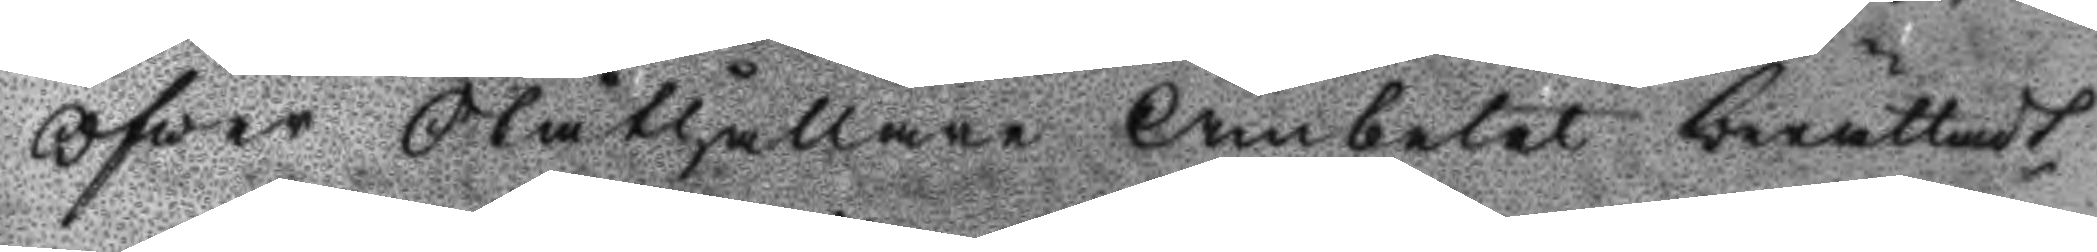Öfwer Ståthållare Ämbetet berättadt
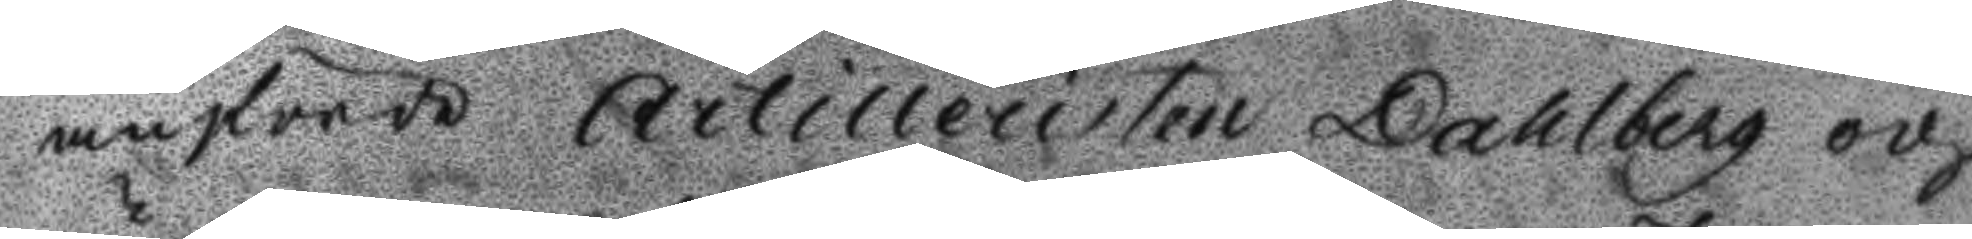anförde Artilleristen Dahlberg och
